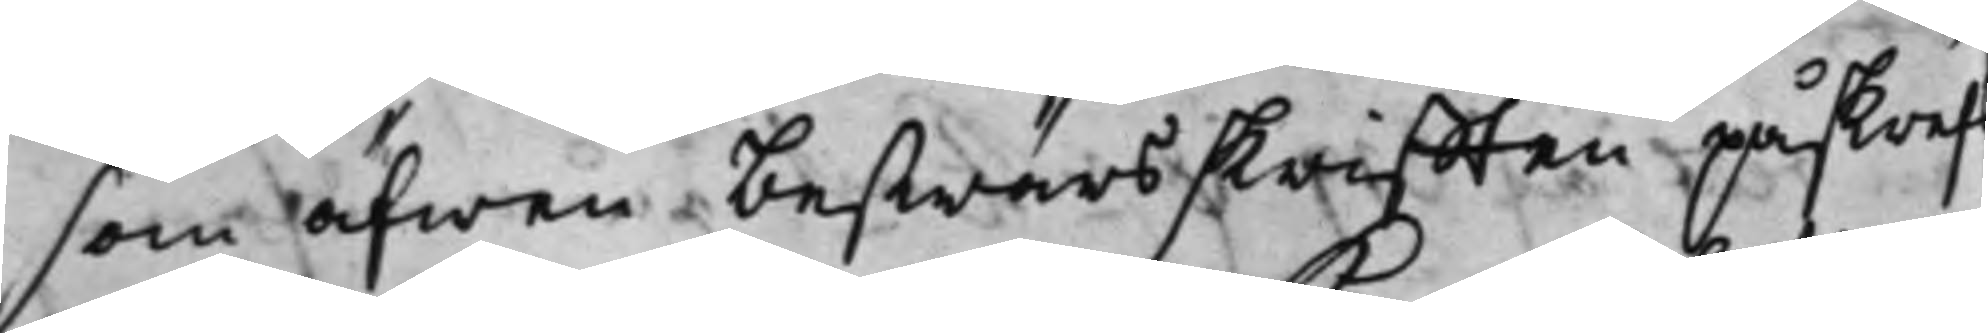som äfwen beswärsskrifften påskrefs
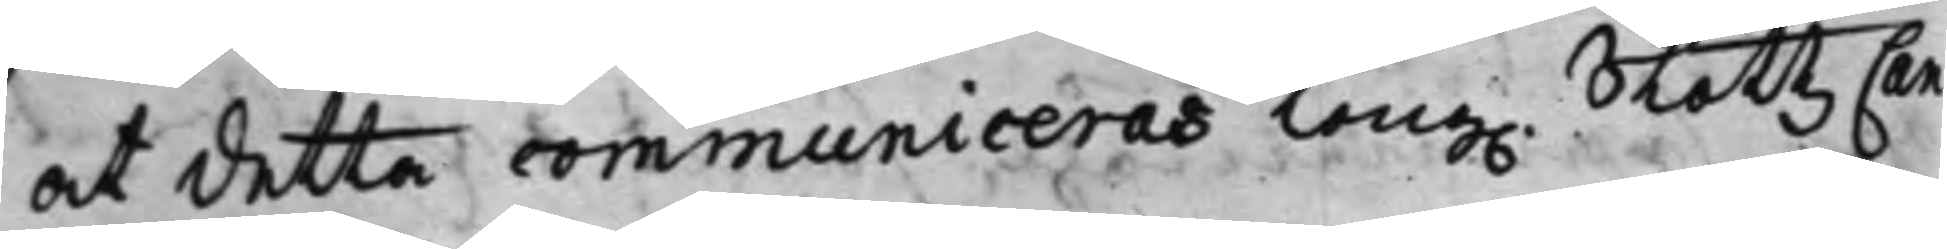at detta communiceras Kong. SlottzCan¬
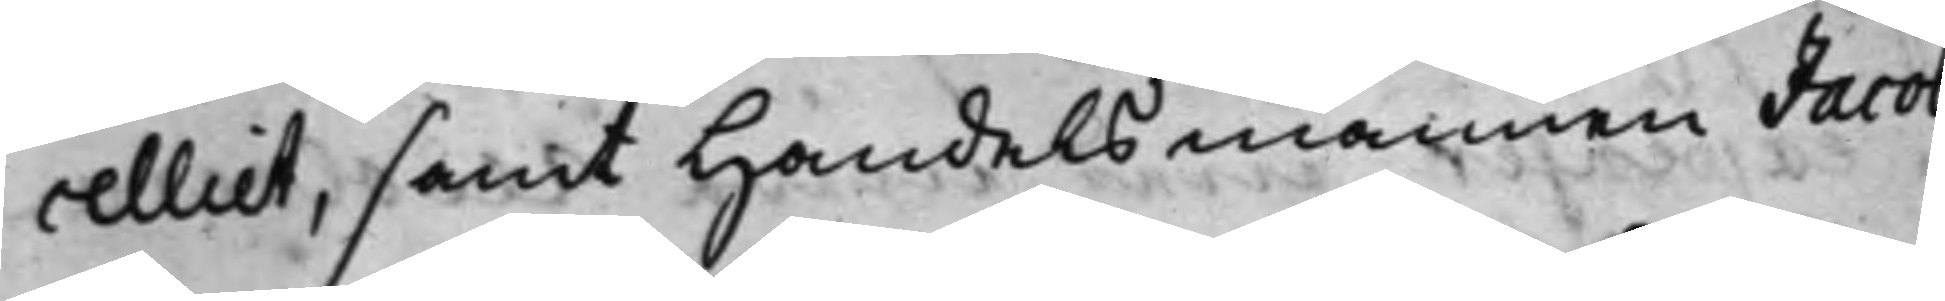celliet, samt Handelsmannen Jacob
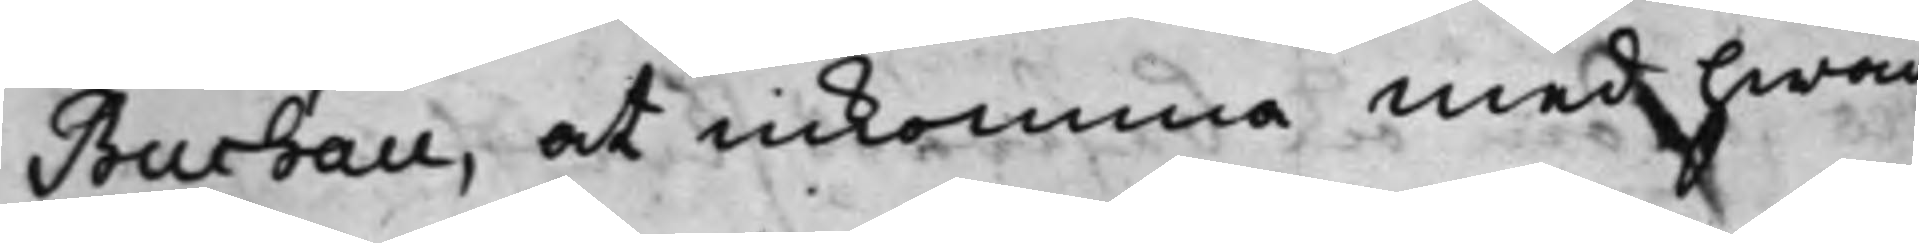Buchau, at inkomma med hwad
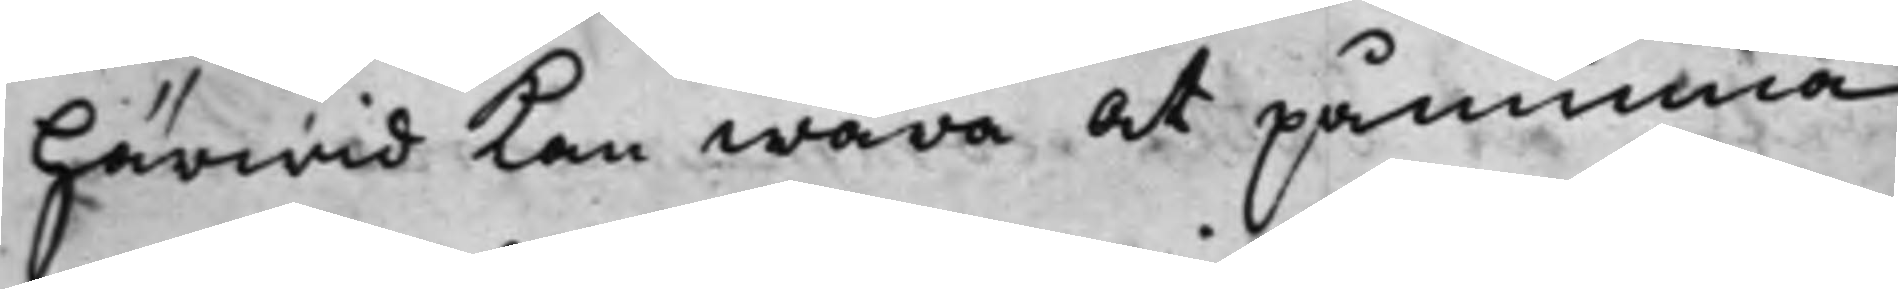härwid kan wara at påminna,
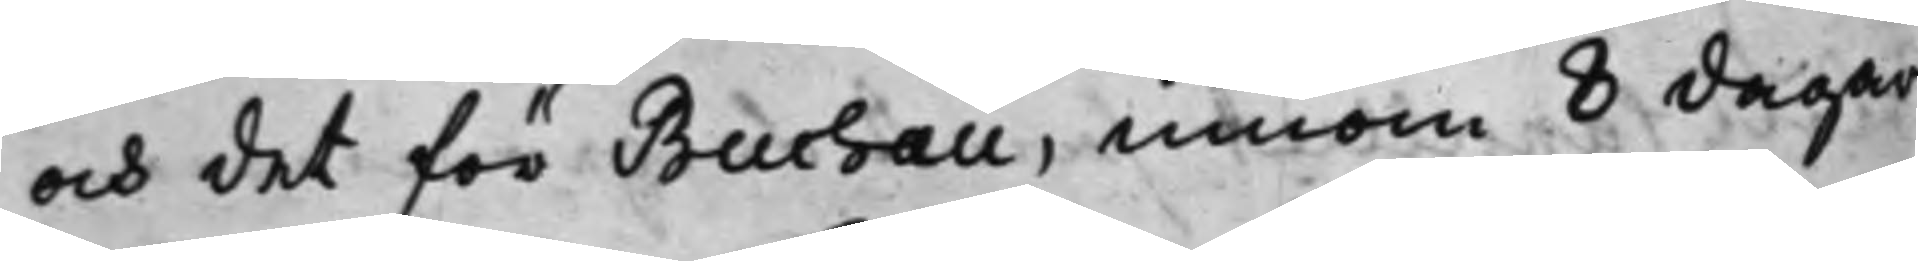och det för Buchau, innom 8 dagars
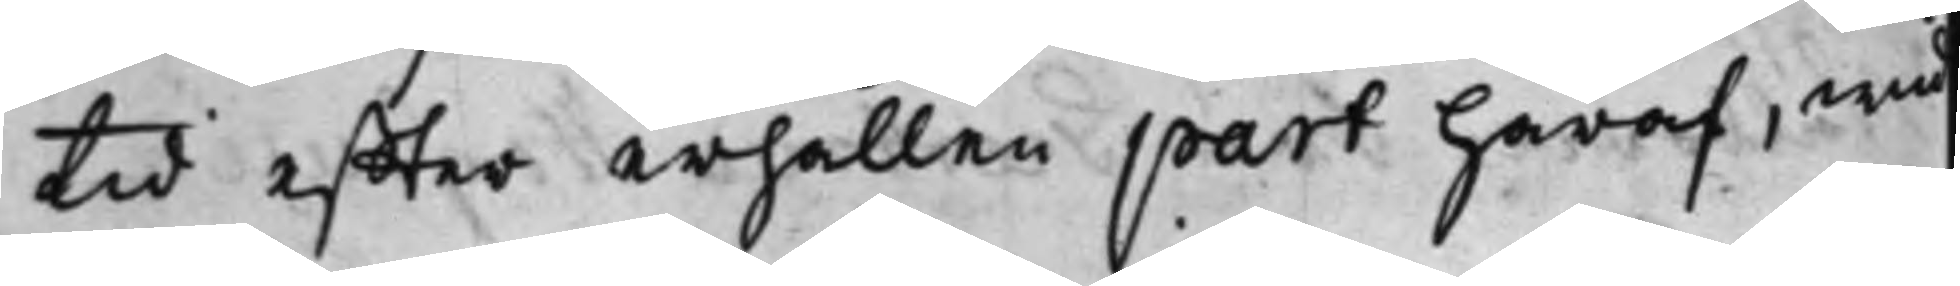tid effter erhållen part häraf, wid
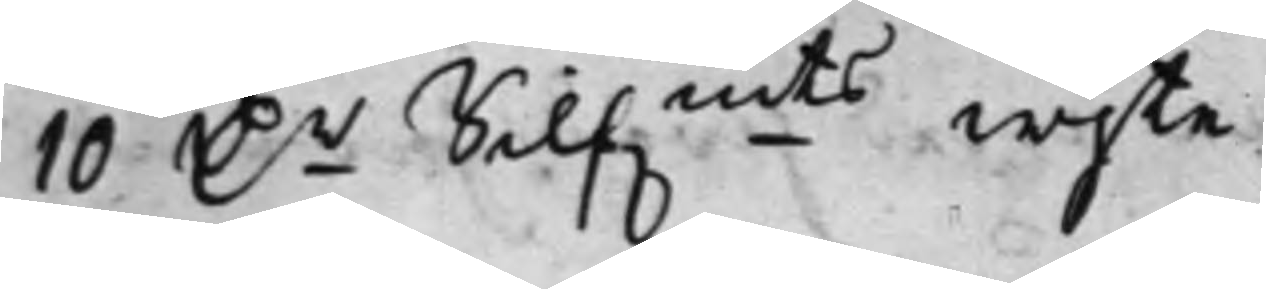10 D.r Silf.mts wijte.
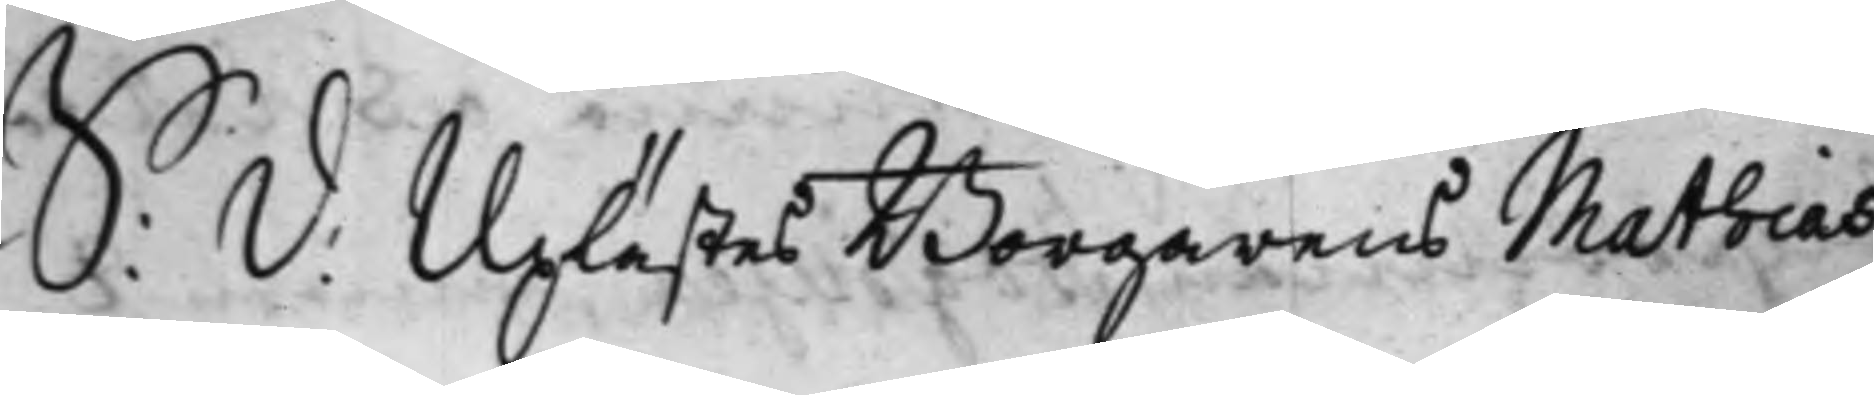S: d: Uplästes Borgarens Mathias
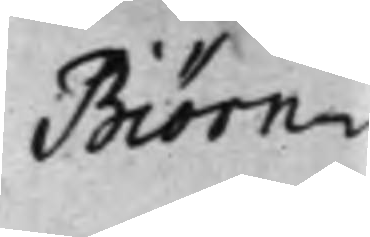Biörn¬
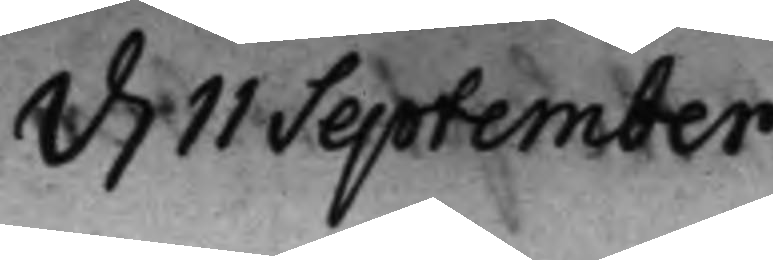d. 11 September
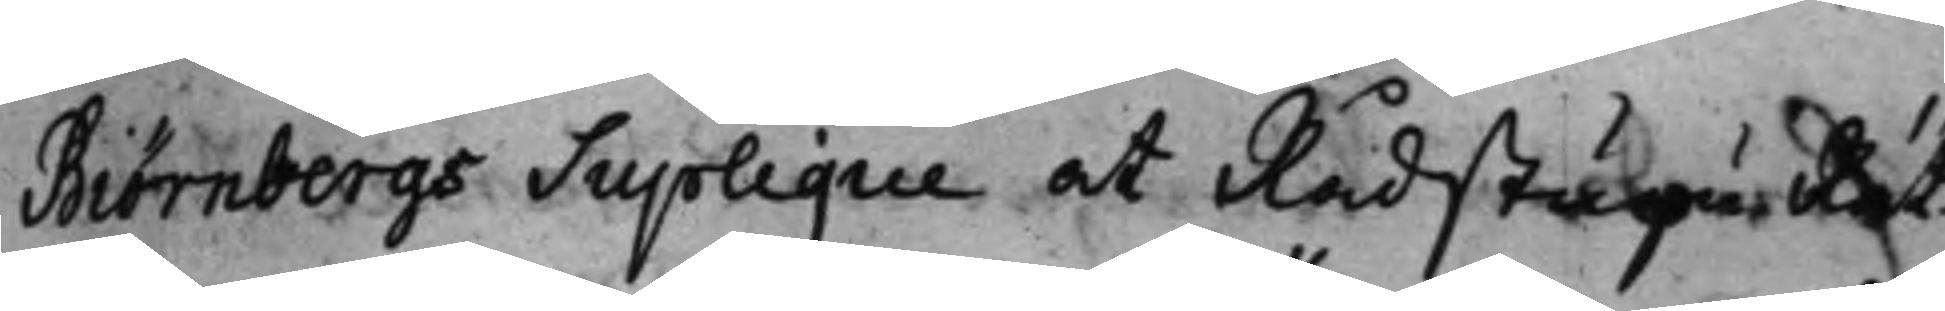Biörnbergs Supplique at Rådstugu Rät¬
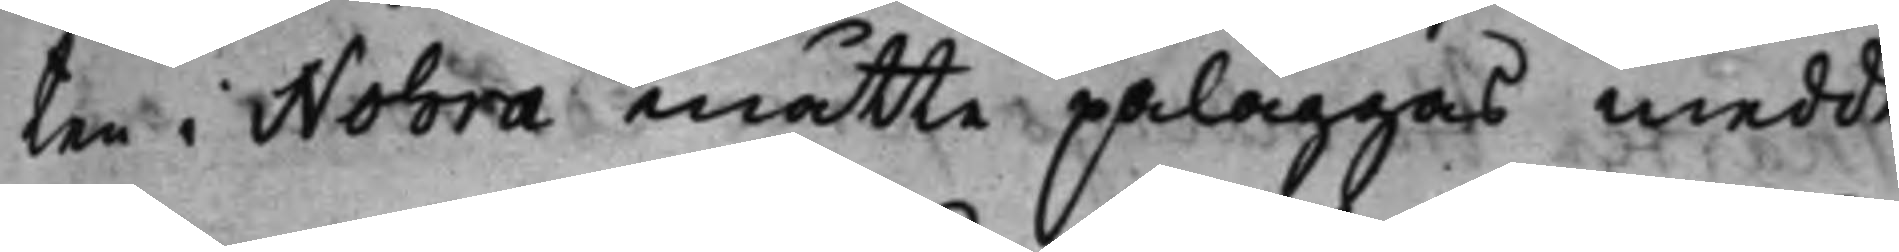ten i Nohra måtte påläggas medde¬
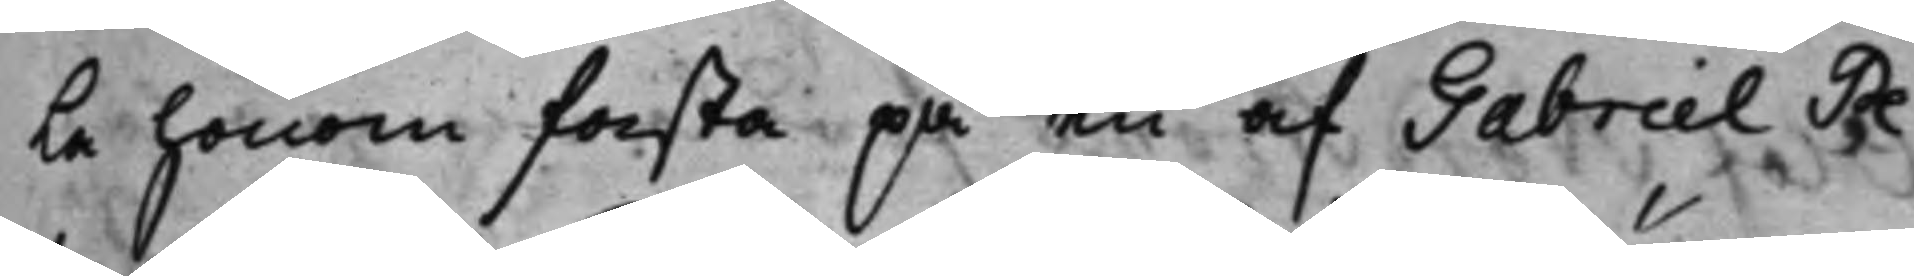la honom fasta på en af Gabriel Pe¬
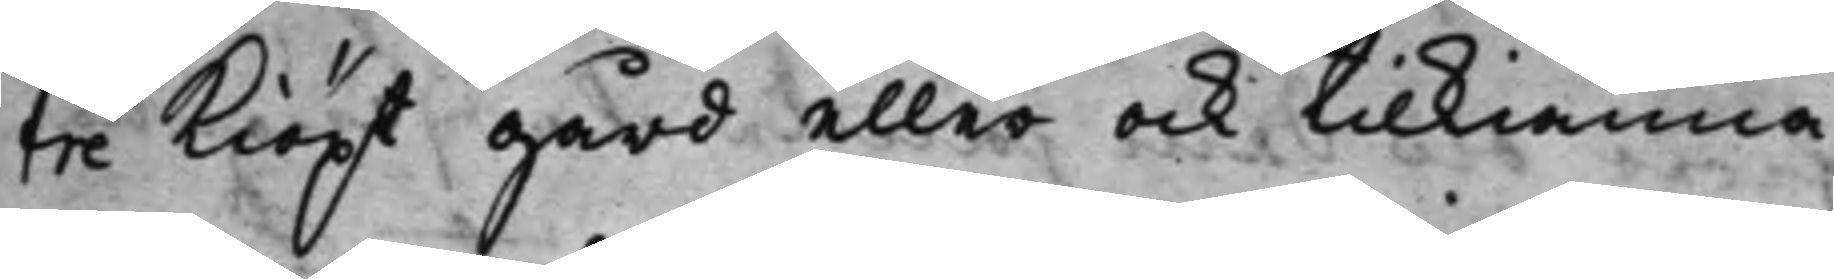tre kiöpt gård eller ock tilkiänna¬
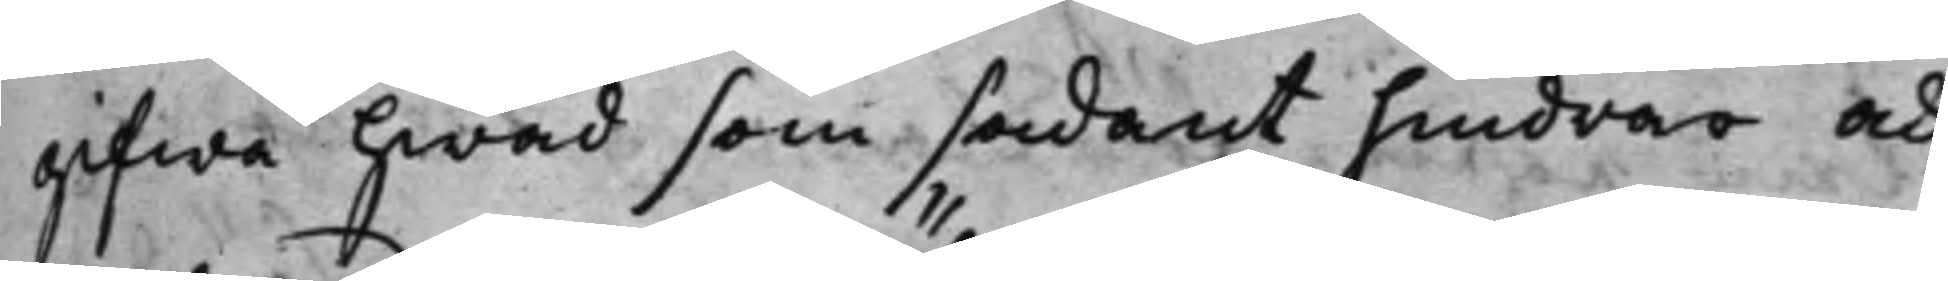gifwa hwad som sådant hindrar och
